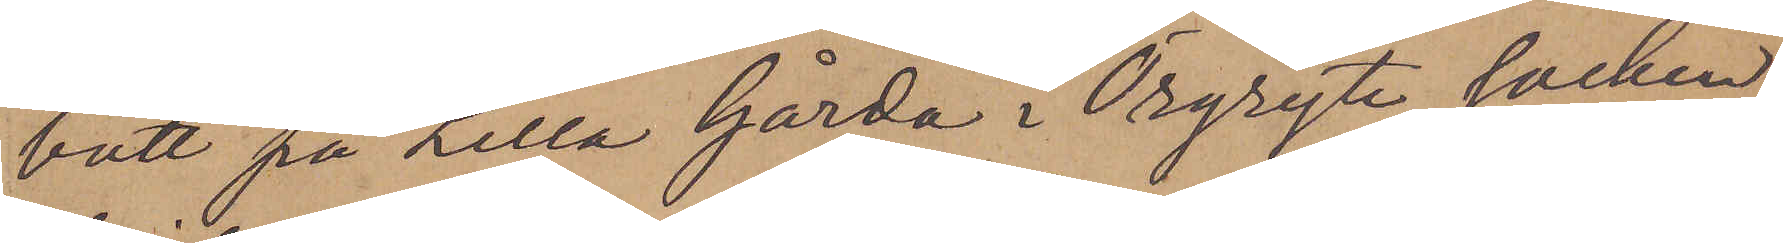bott på Lilla Gårda i Örgryte socken
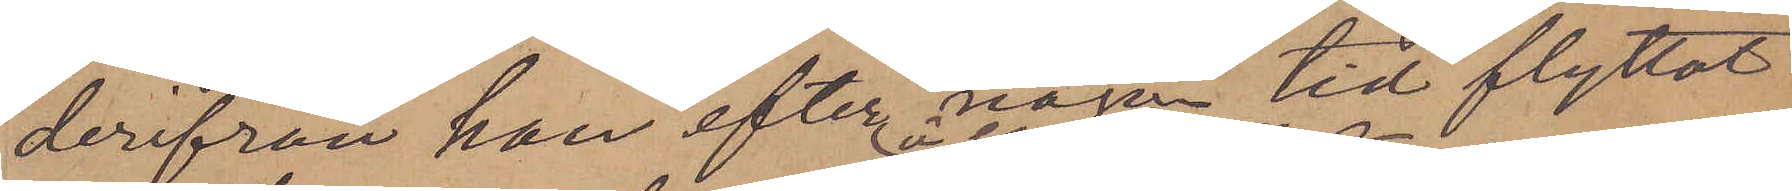derifrån han efter namn tid flyttat
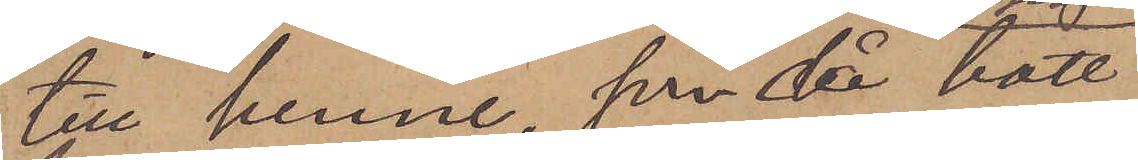till henne, som då bott
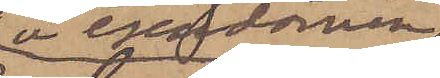å egendomen
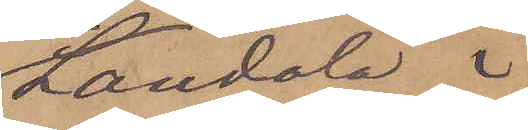Landala i
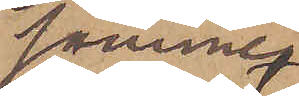samme
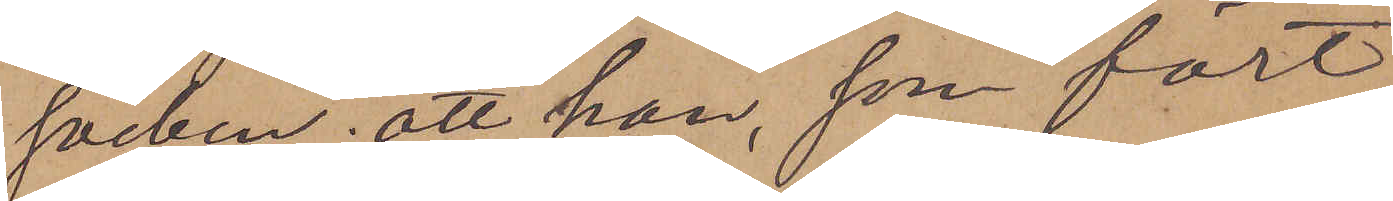socken; att han, som fört
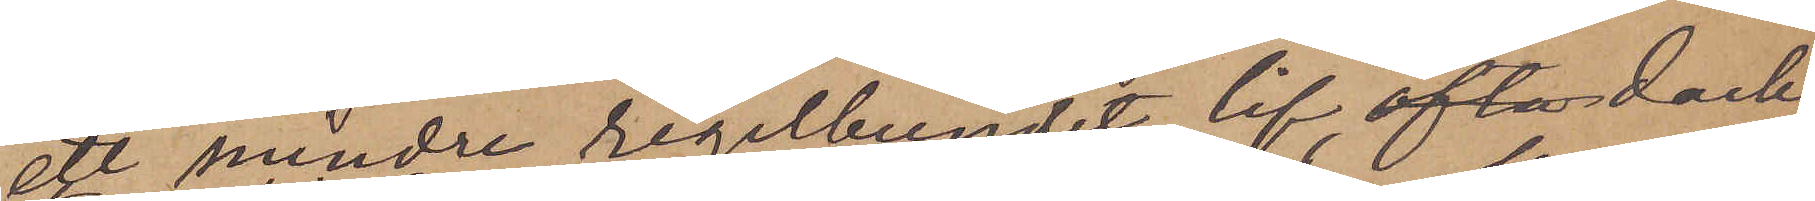ett mindre regelbundet lif ofta dock
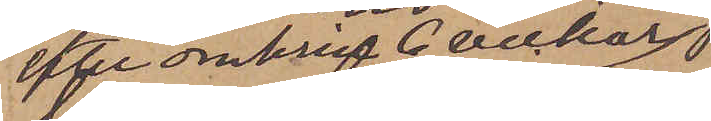efter omkring 6 veckor
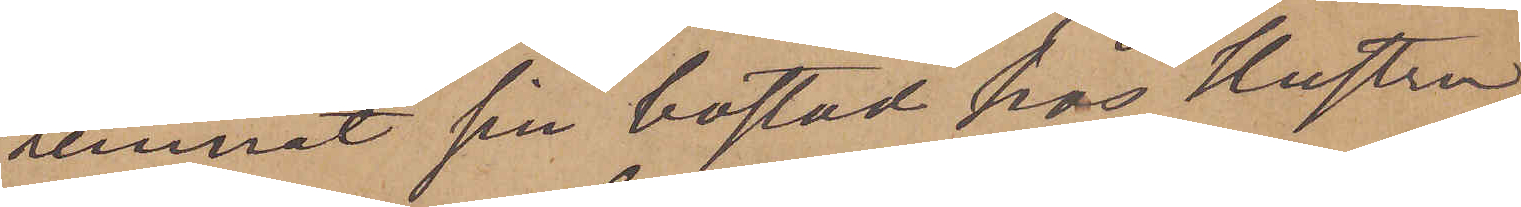lemnat sin bostad hos hustru
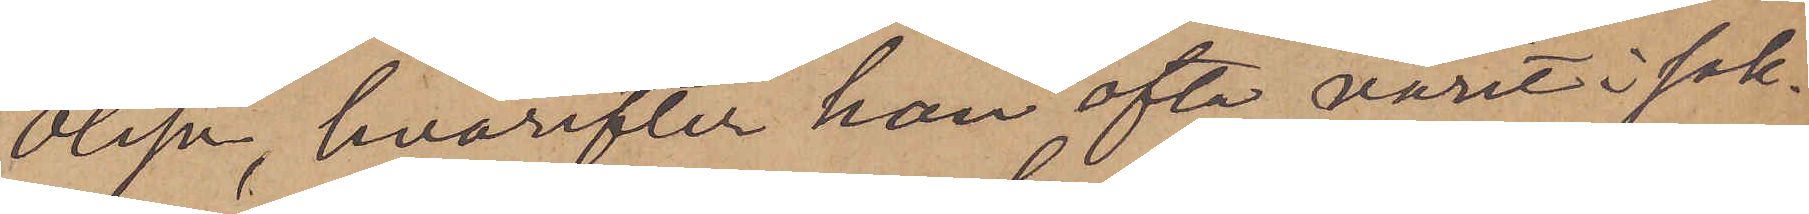Olsson, hvarefter han ofta varit i sak¬
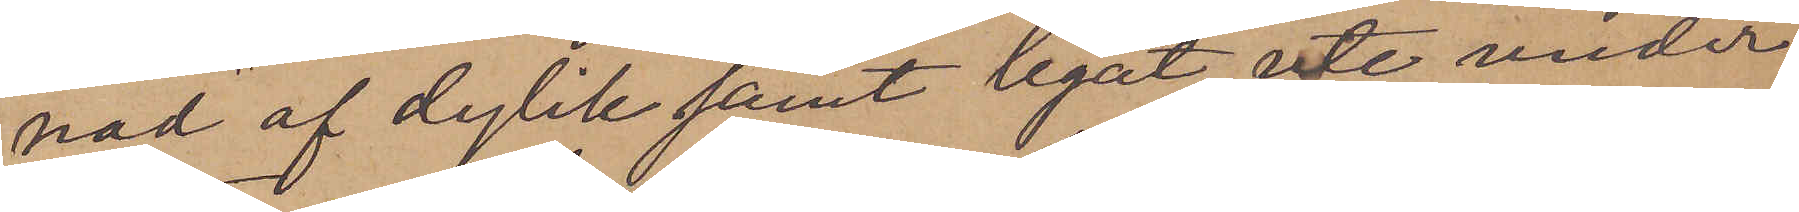nad af dylik samt legat ute under
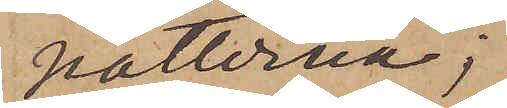nätterna;
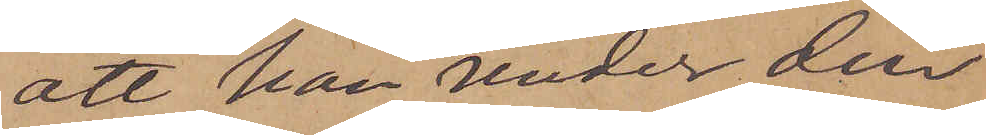att han under den
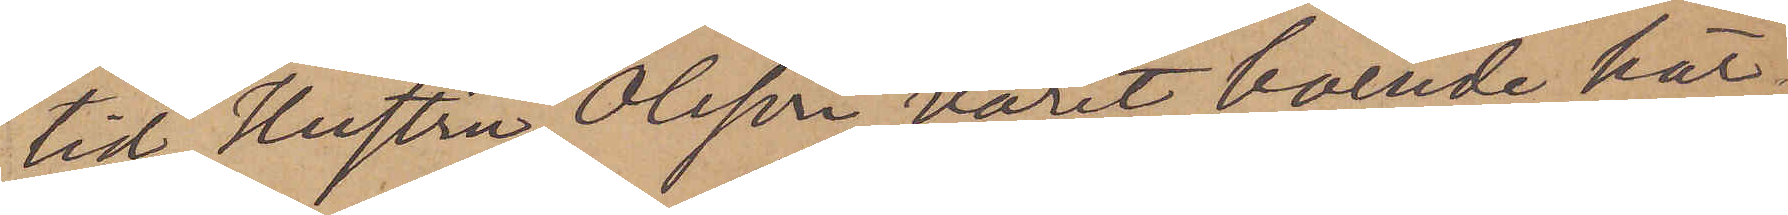tid Hustru Olsson varit boende här¬
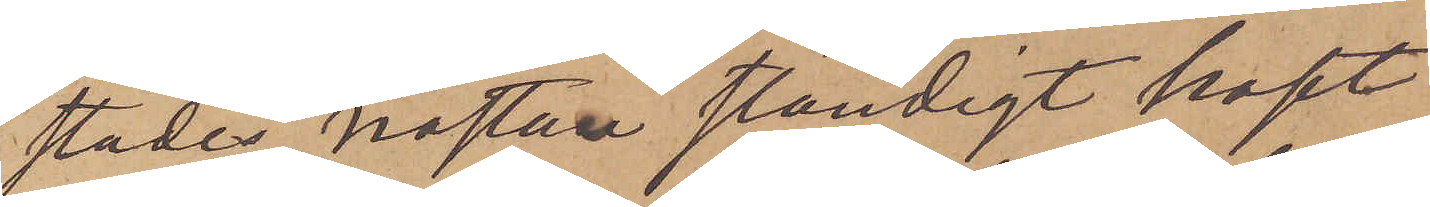städes, nästan ständigt haft
